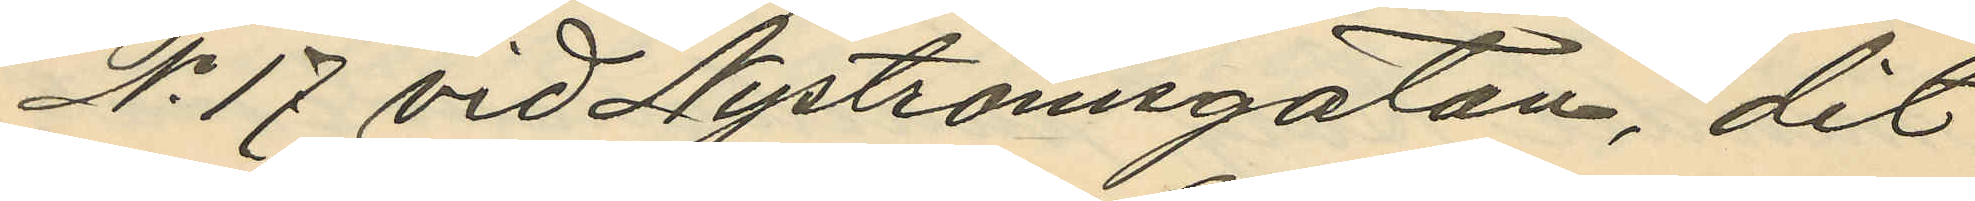No 17 vid Nyströmsgatan, dit
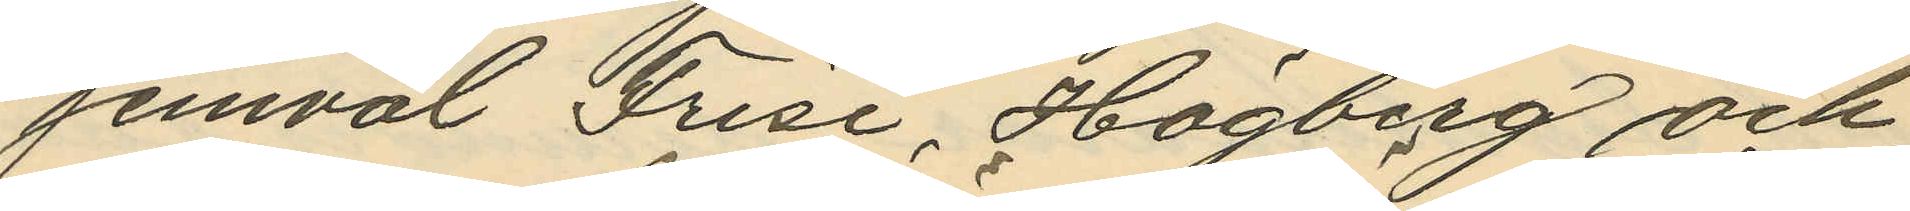jemväl Frise, Högberg och
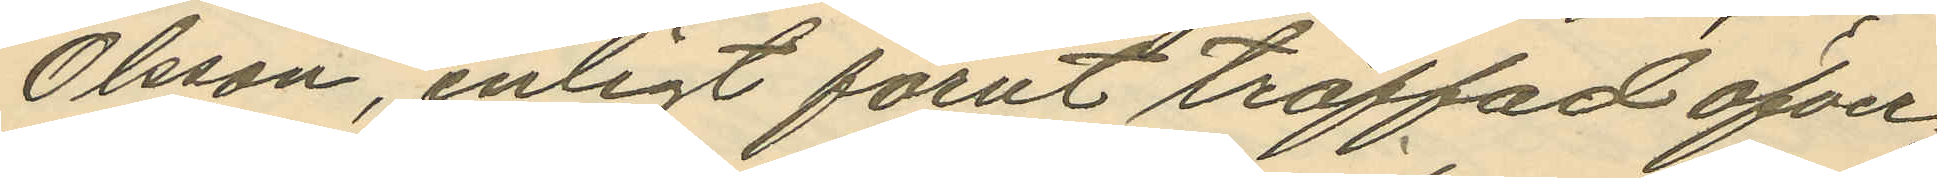Olsson, enligt förut träffad öfver¬
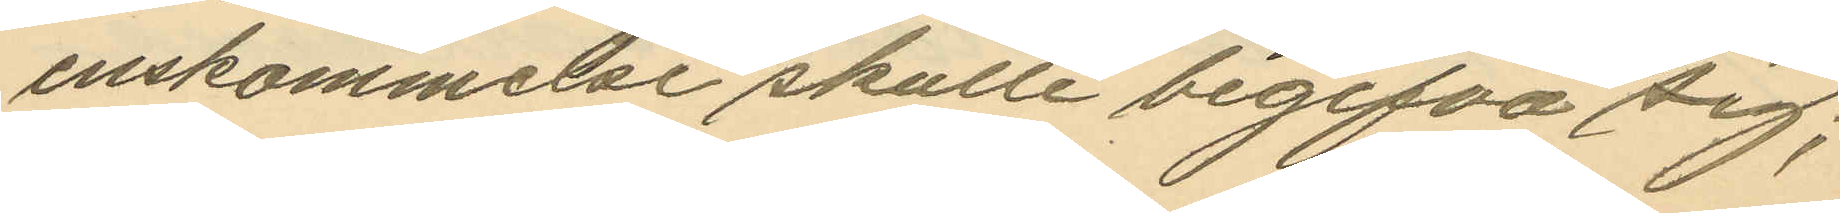enskommelse skulle begifva sig;
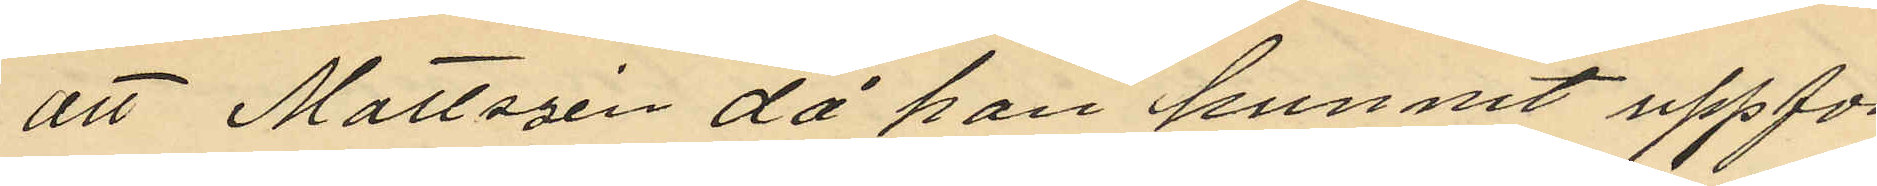att Mattszén då han hunnit uppför
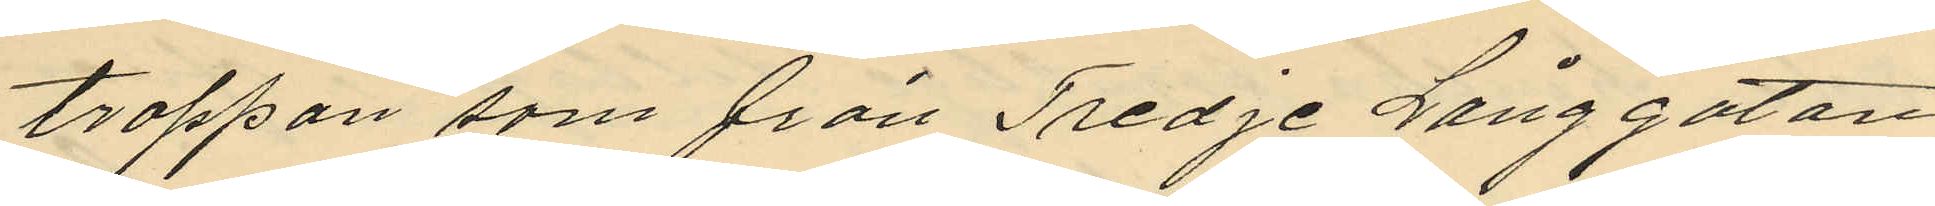trappan som från Tredje Långgatan
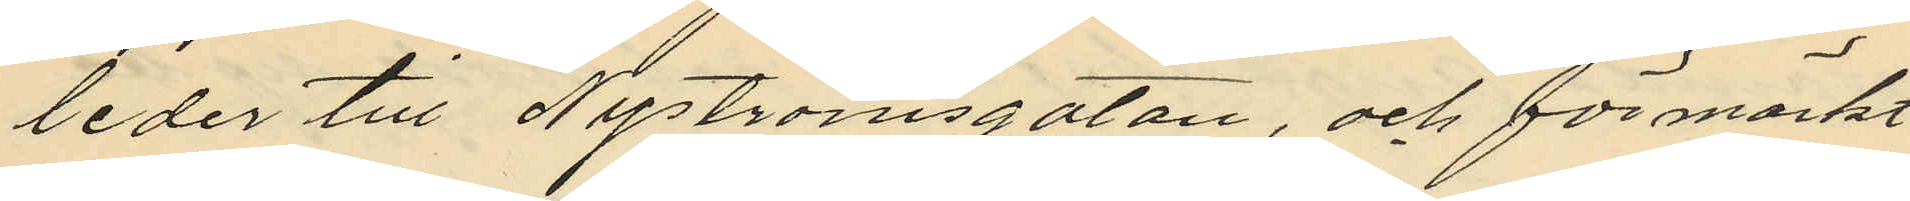leder till Nyströmsgatan, och förmärkt
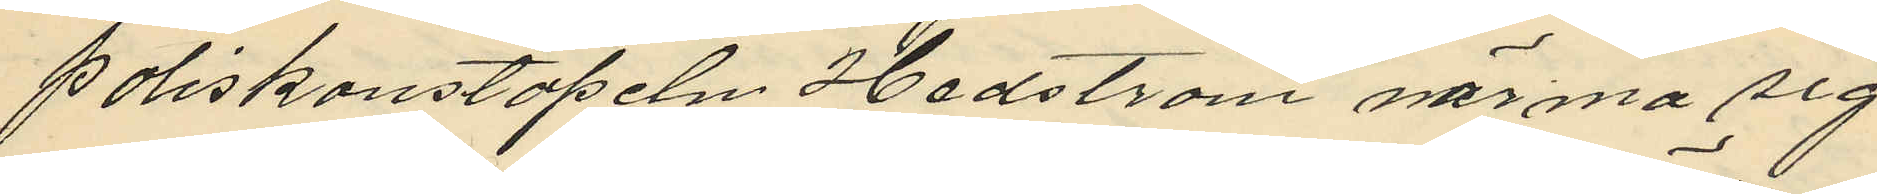poliskonstapeln Hedström närma sig,
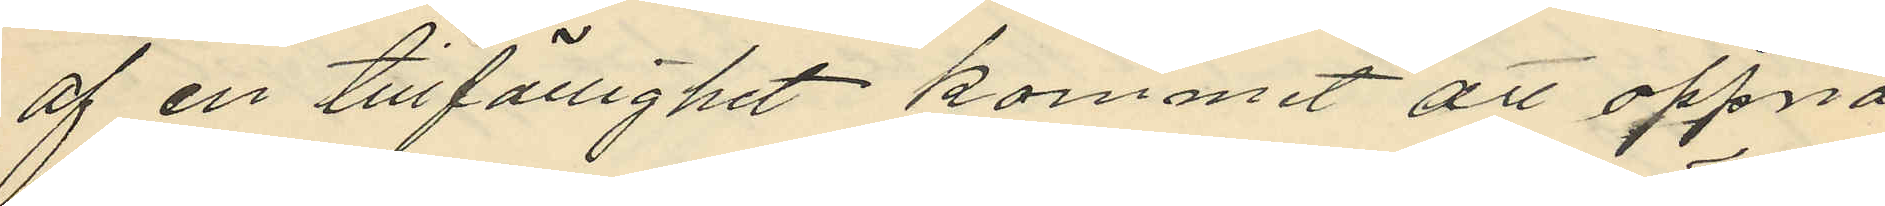af en tillfällighet kommit att öppna
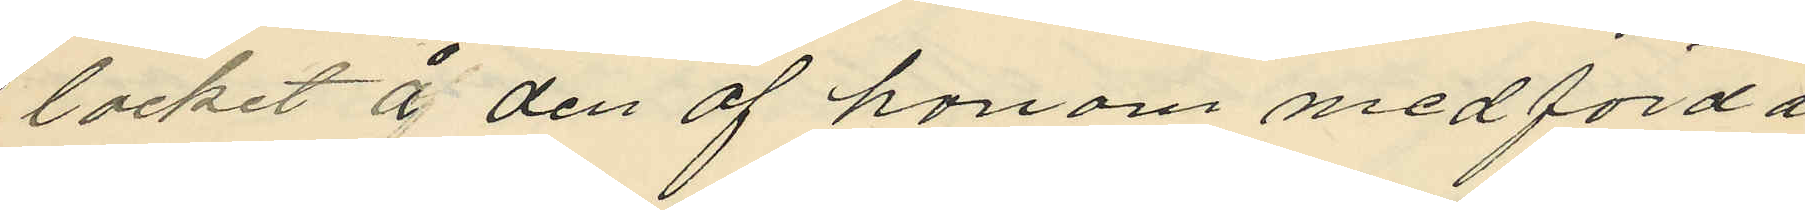locket å den af honom medförda
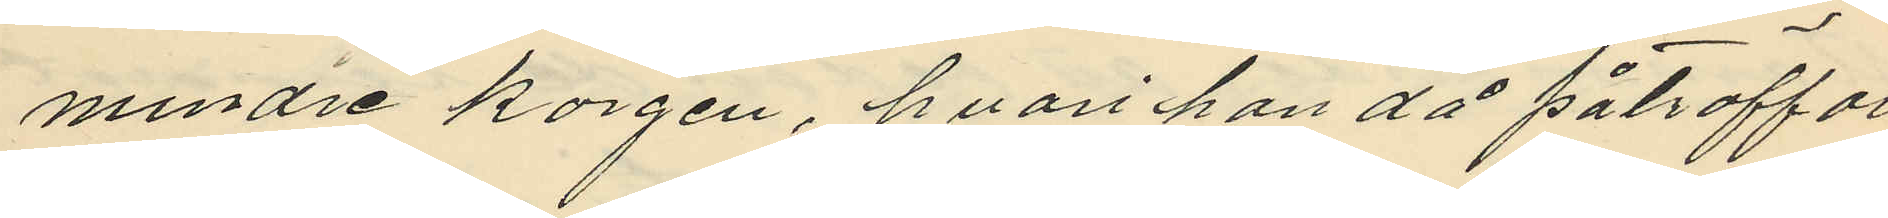mindre korgen, hvari han då påträffat
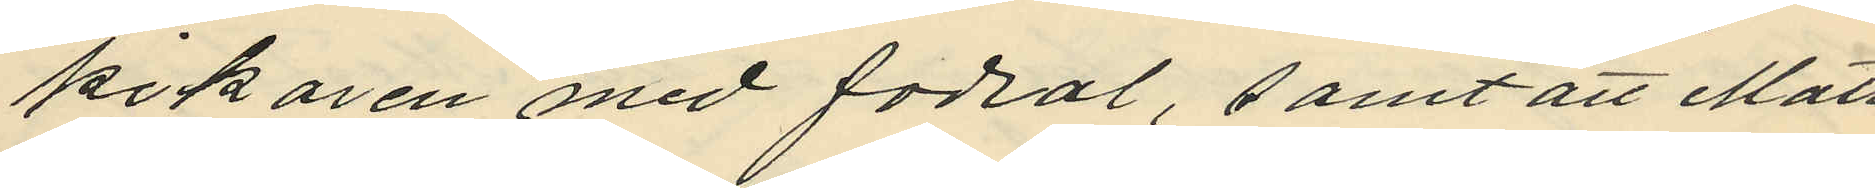kikaren med fodral, samt att Matt
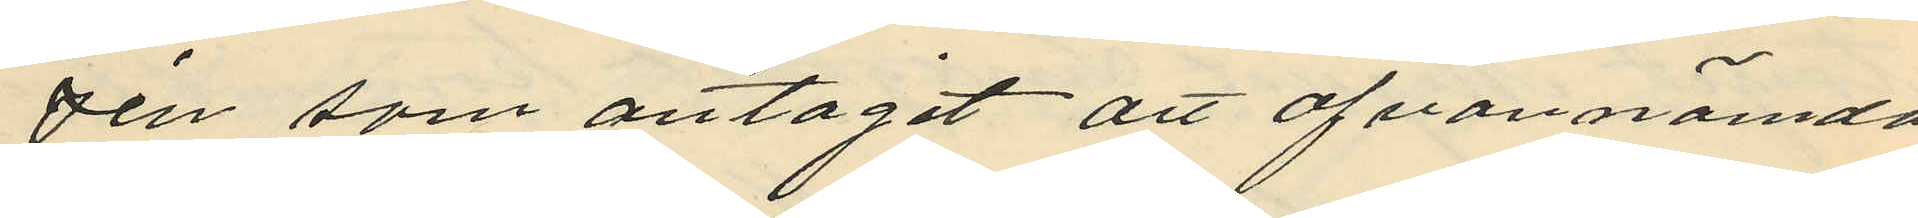zén som antagit att ofvannämda
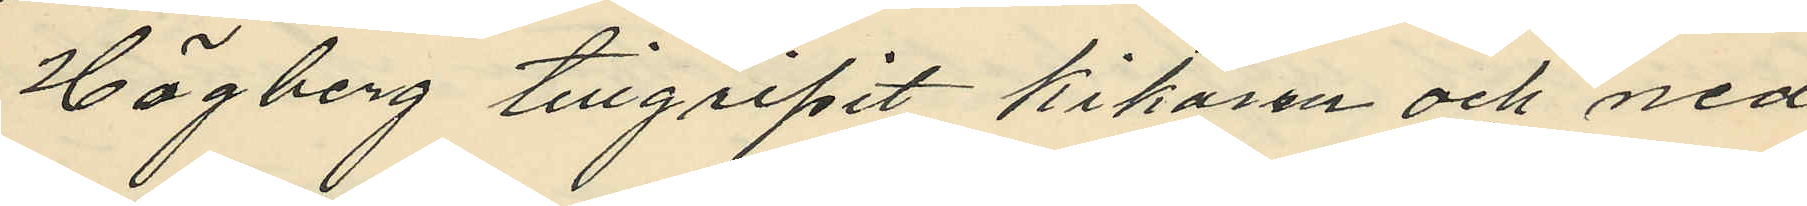Högberg tillgripit kikaren och ned
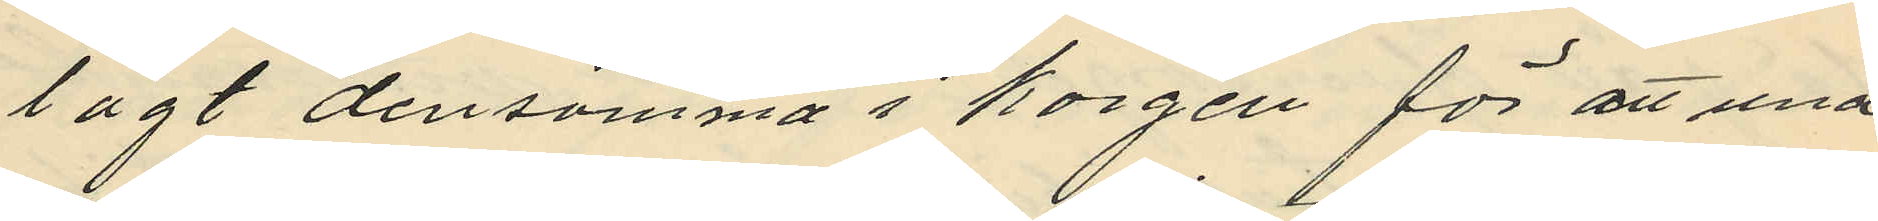lagt densamma i korgen för att und
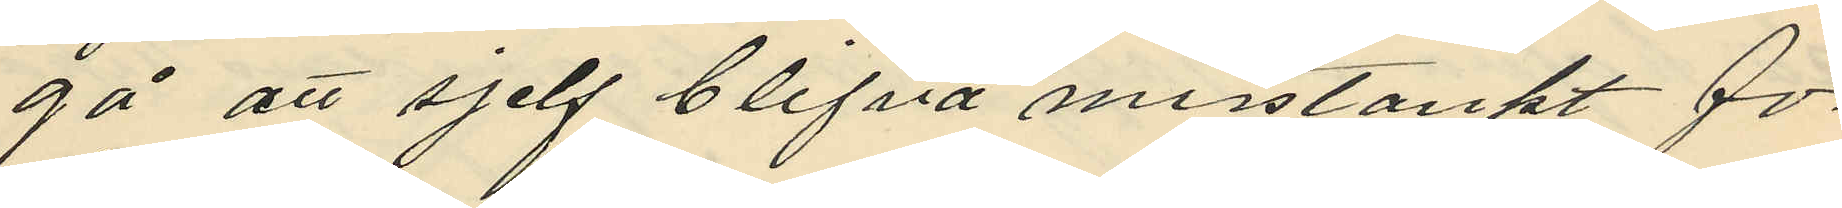gå att sjelf blifva misstänkt för
